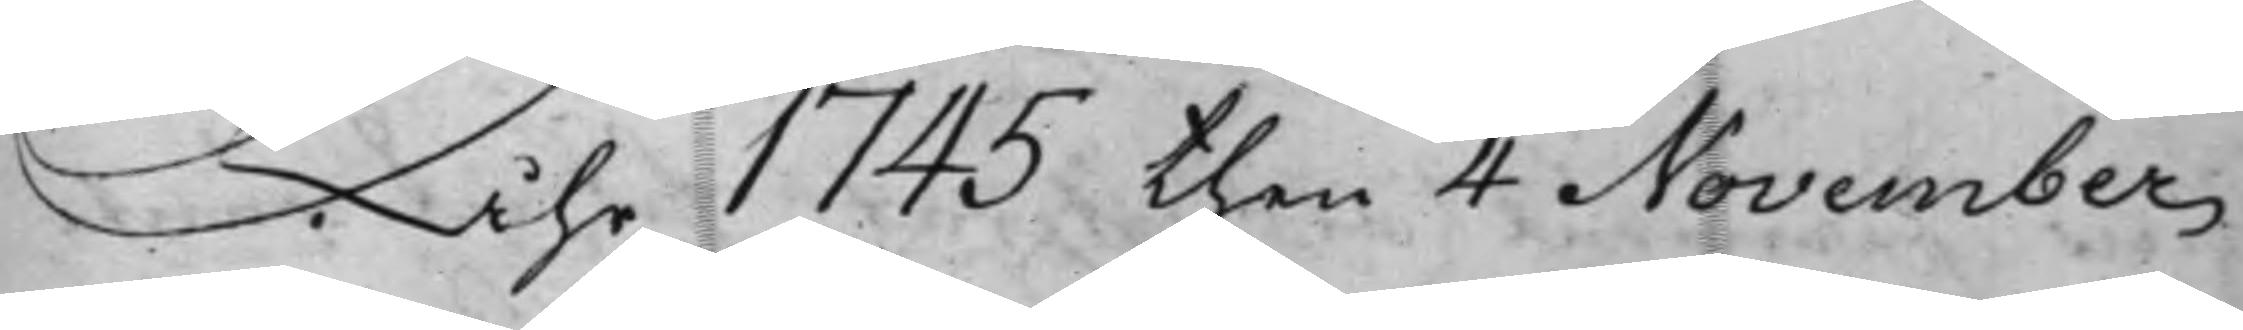Åhr 1745 then 4 November
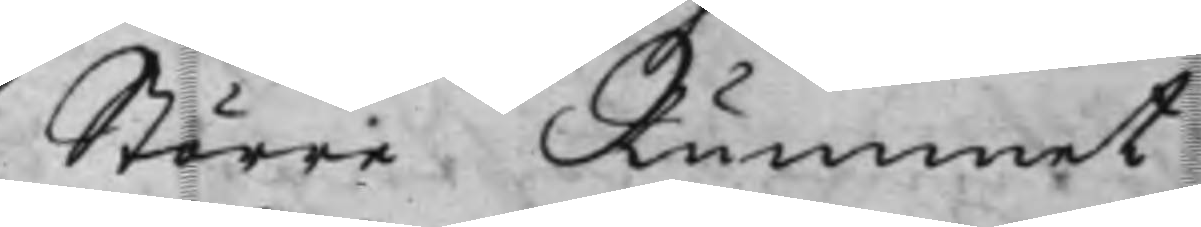Större. Rummet
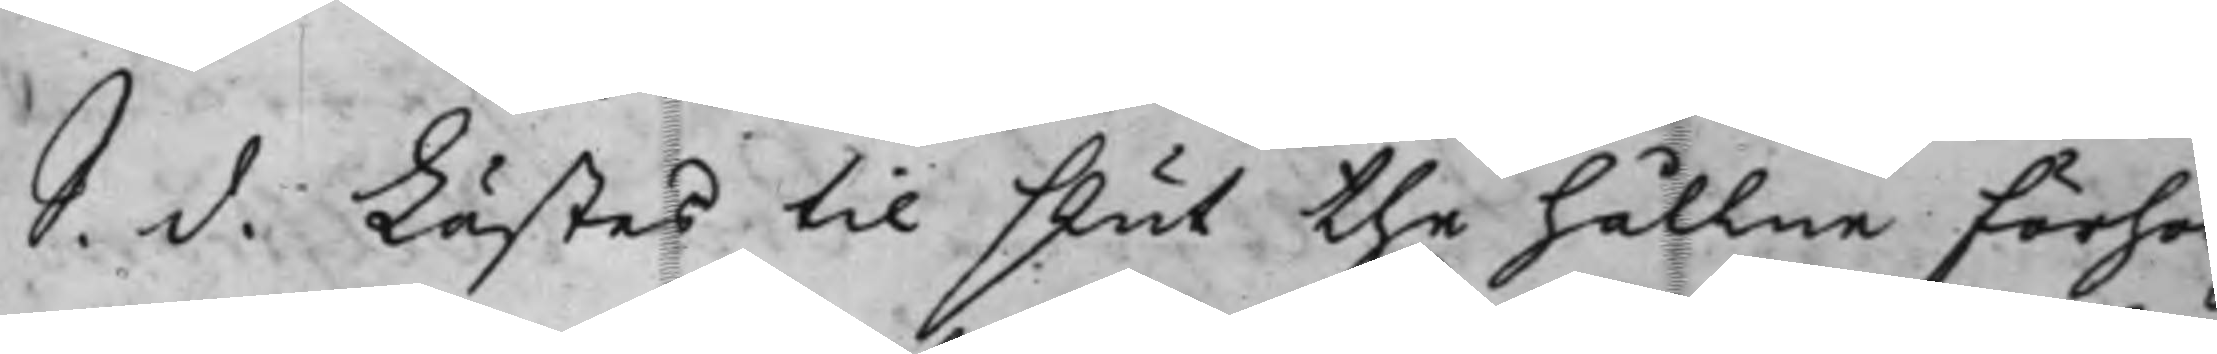S. d. Lästes til slut the hållne förhör
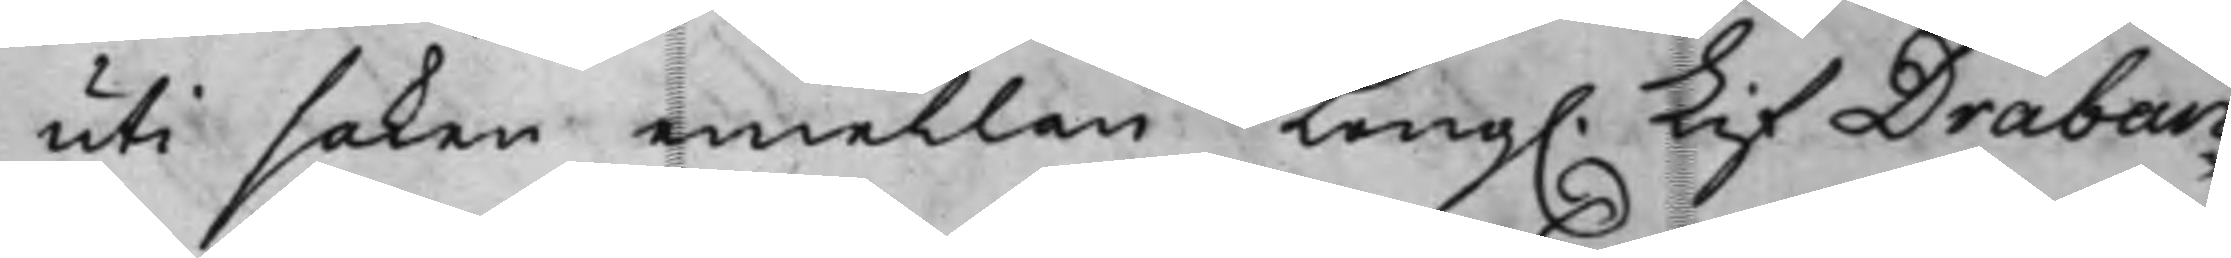uti saken emellan Kong. Lif Draban¬
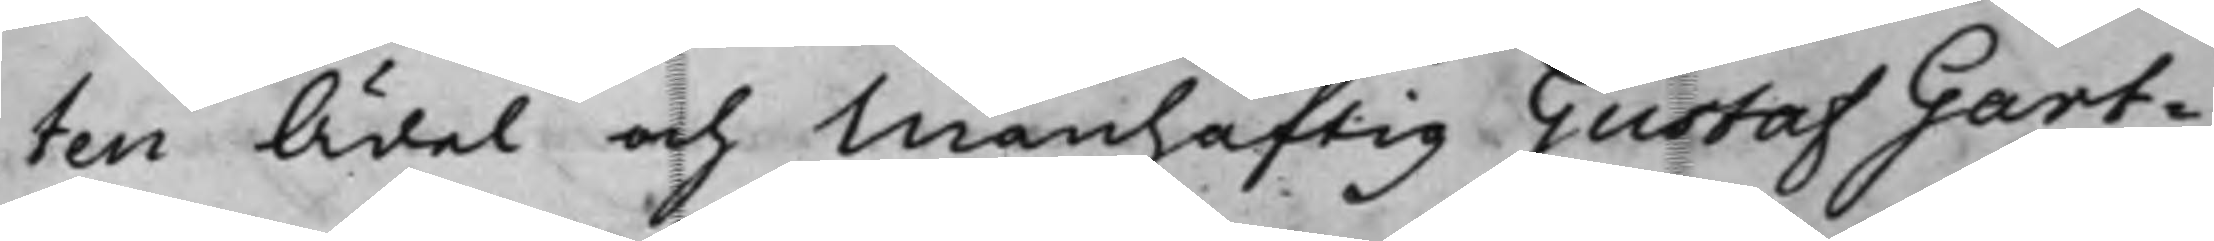ten Ädel och Manhaftig Gustaf Gart¬
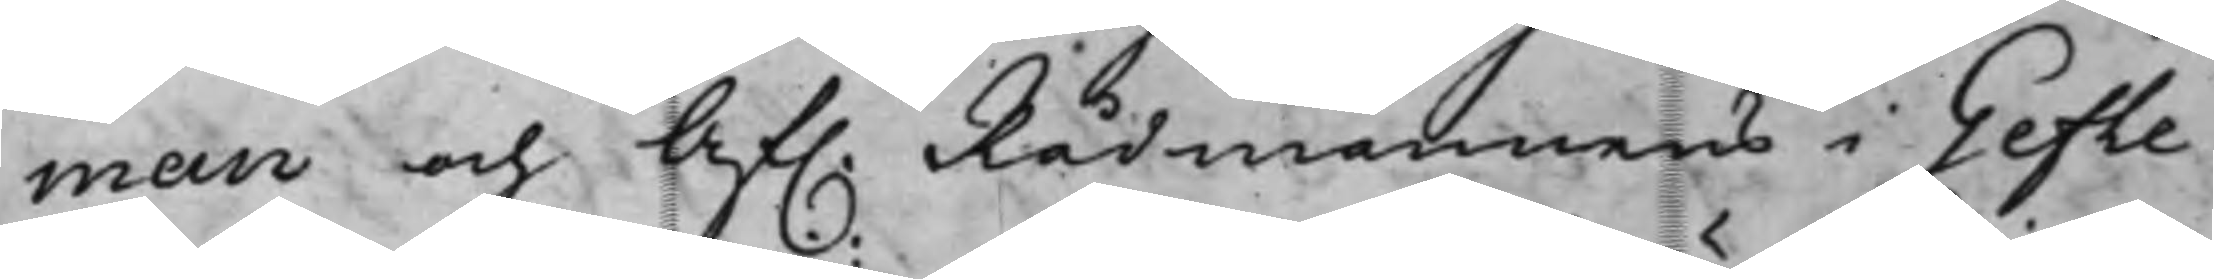man och Af. Rådmannens i Gefle
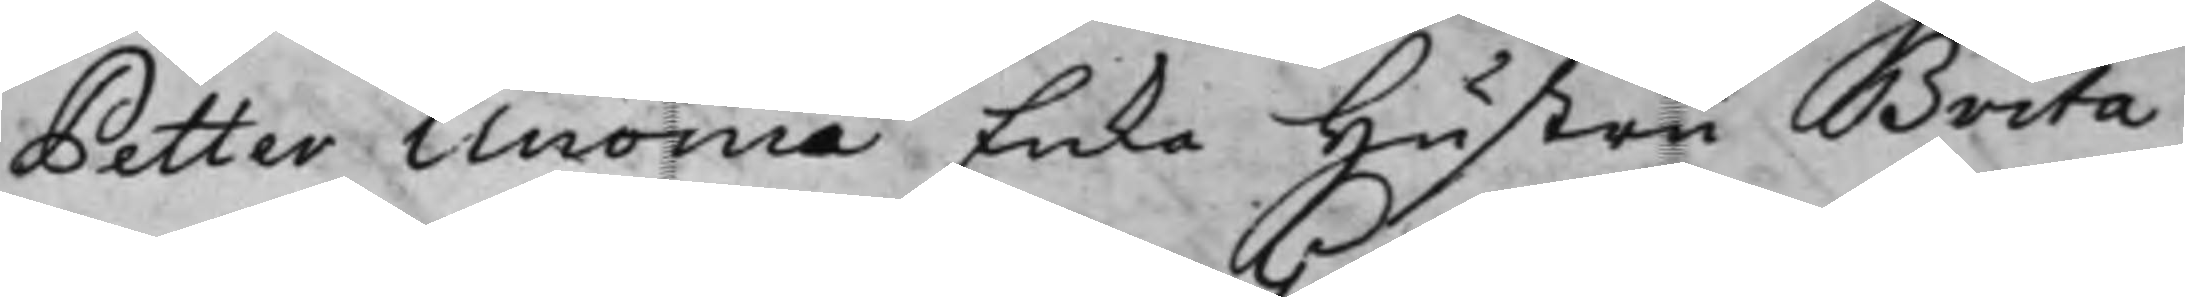Petter Unoniæ Enka Hustru Brita
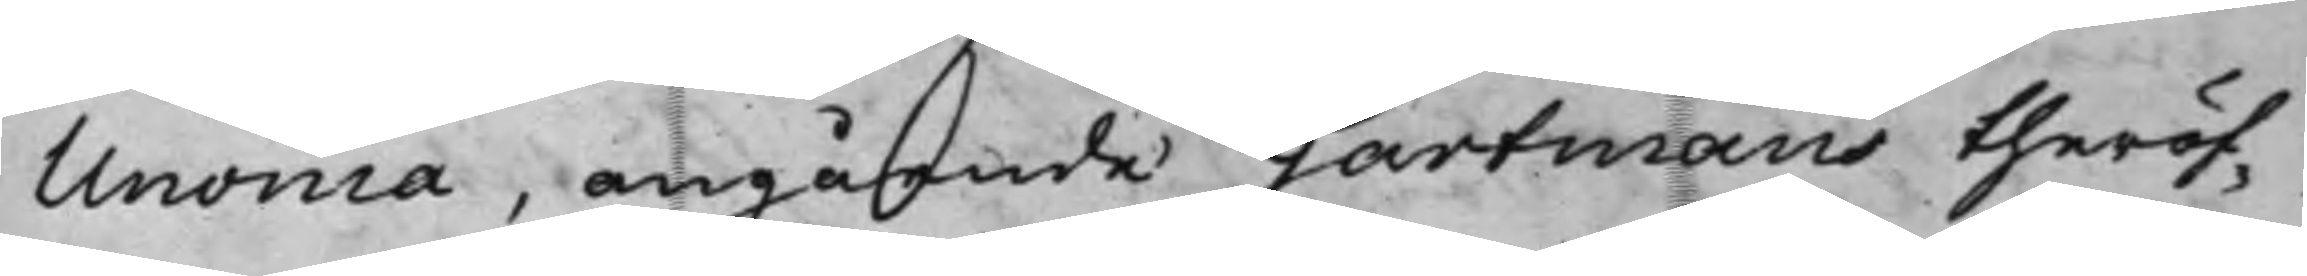Unonia, angående Gartmans theröf¬
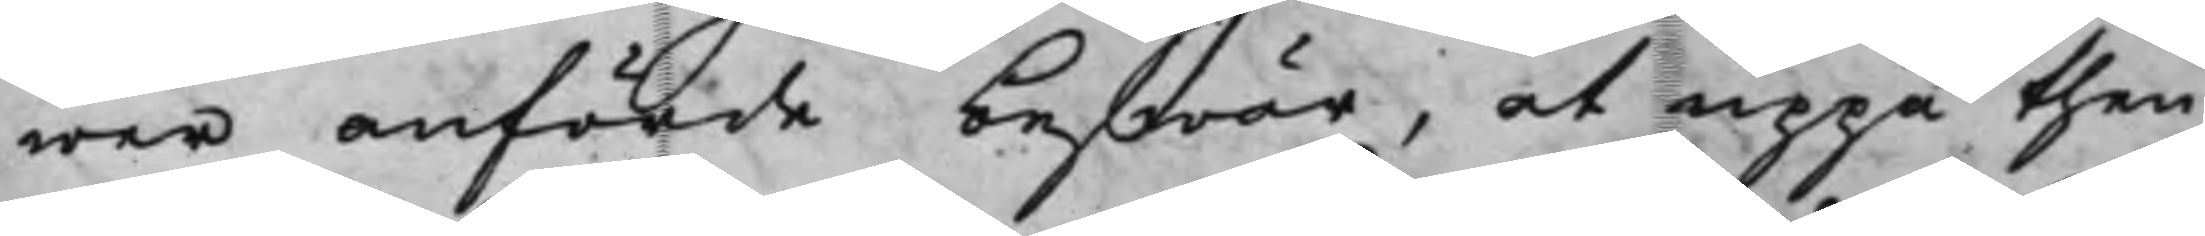wer anförde beswär, at uppå then
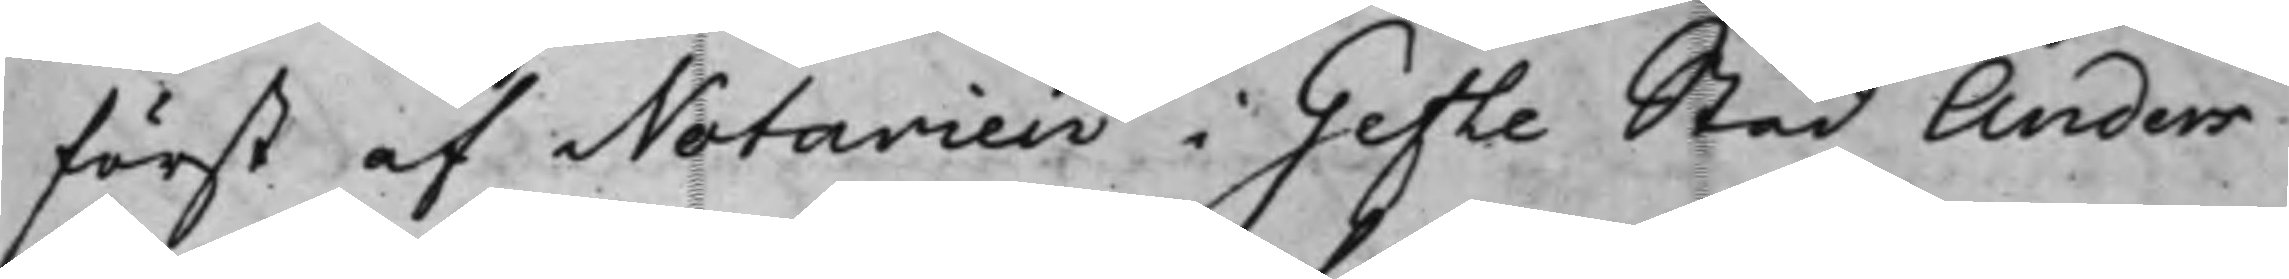först af Notarien i Gefle Stad Anders
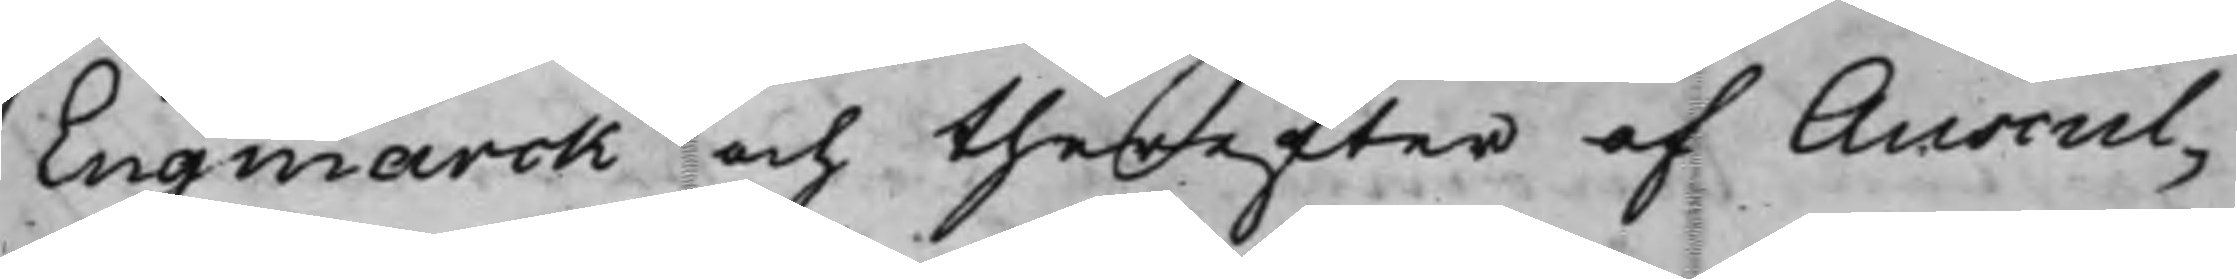Engmarck och therefter af Auscul¬
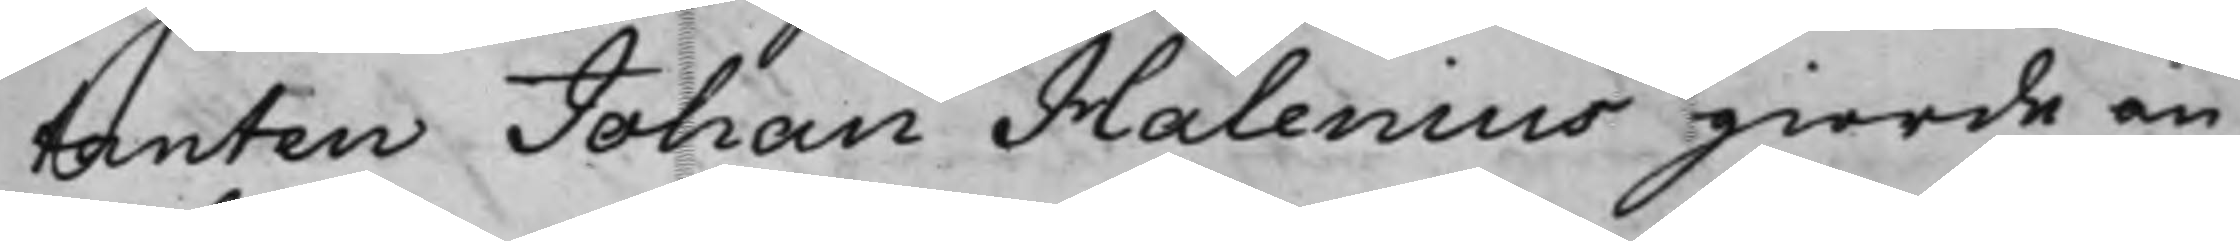tanten Johan Halenius giorde an¬
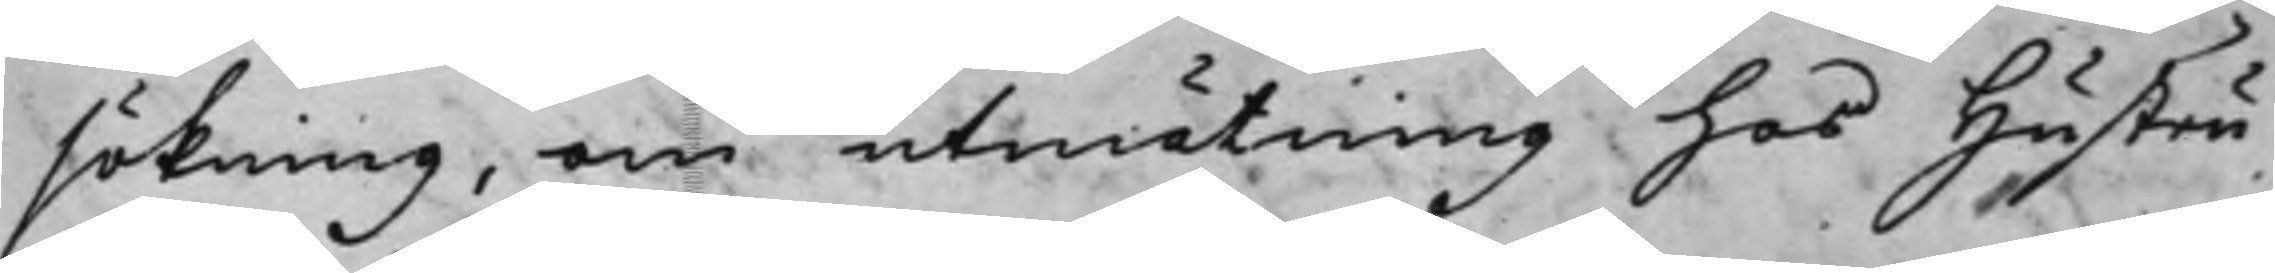sökning, om utmätning hos hustru
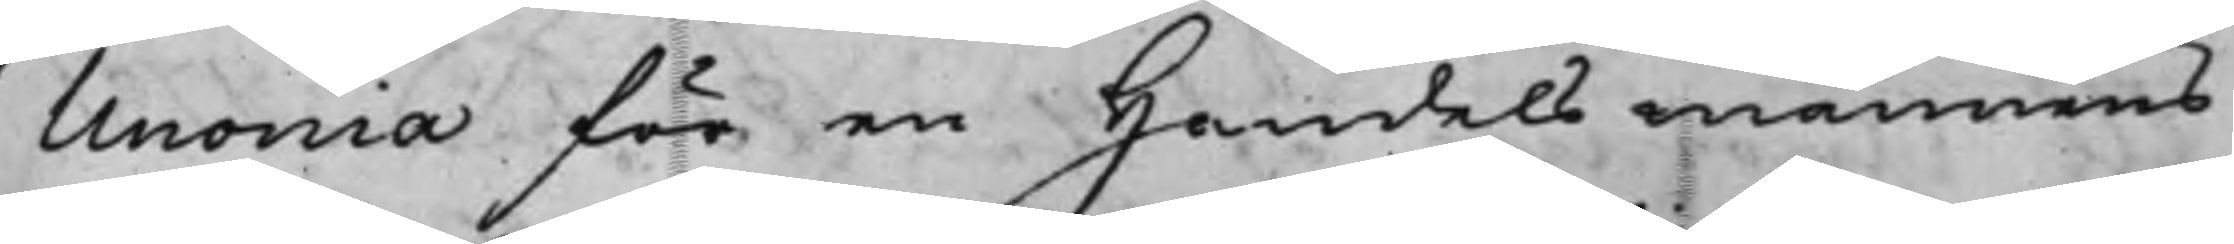Unonia för en Handelsmannens
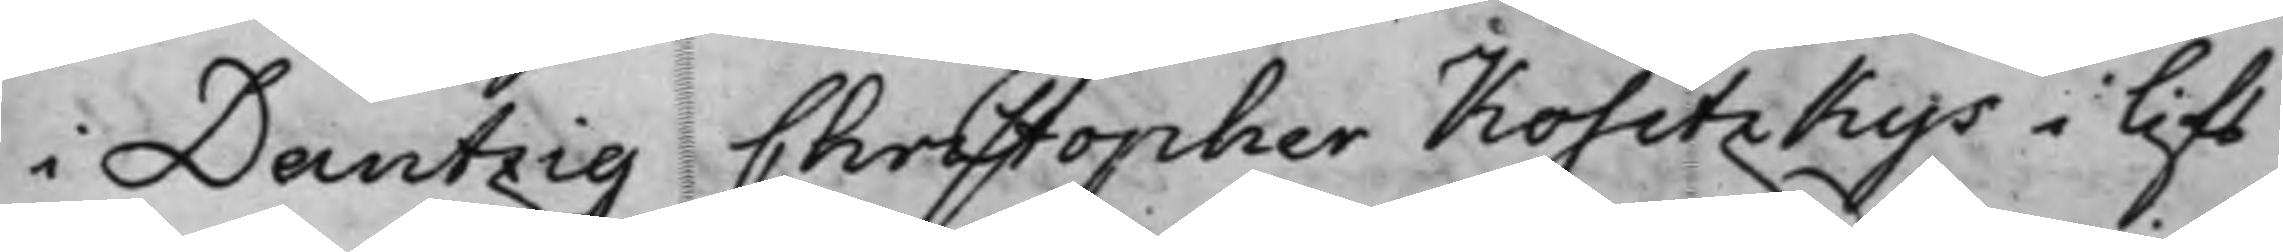i Dantzig Christopher Kositzkys i lifs¬
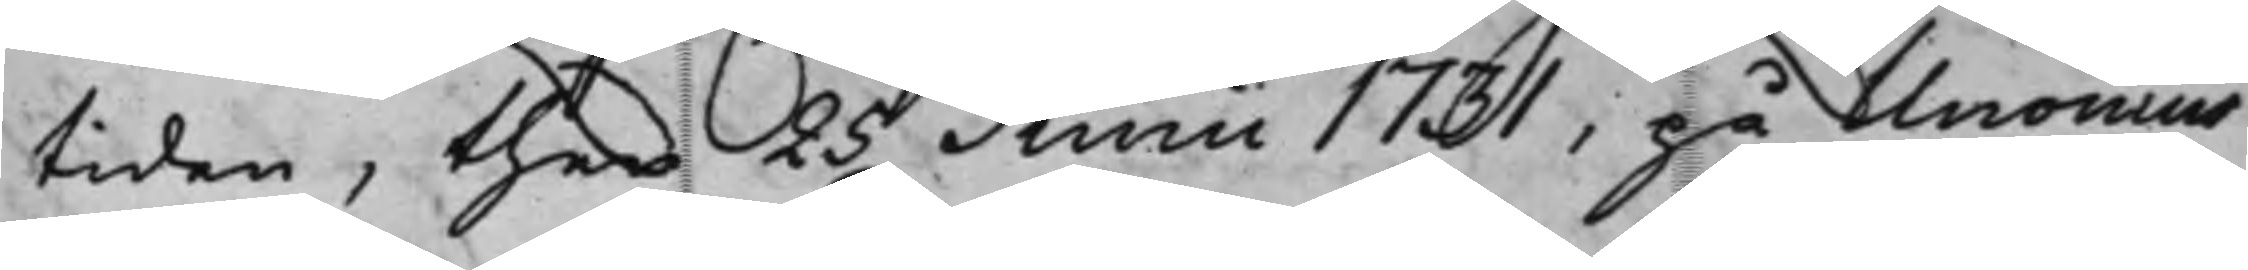tiden, then 25 Junii 1731, på Unonius
